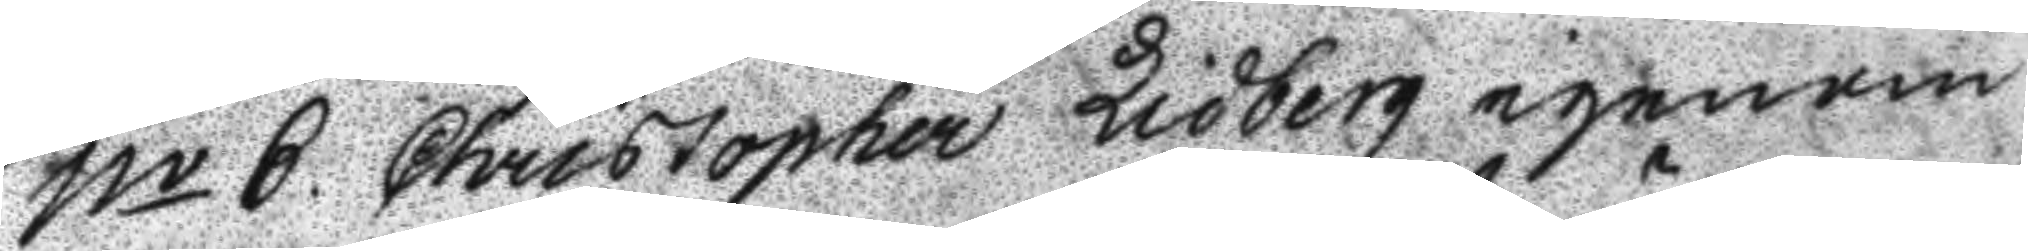No 6 Christopher Lidberg igenom
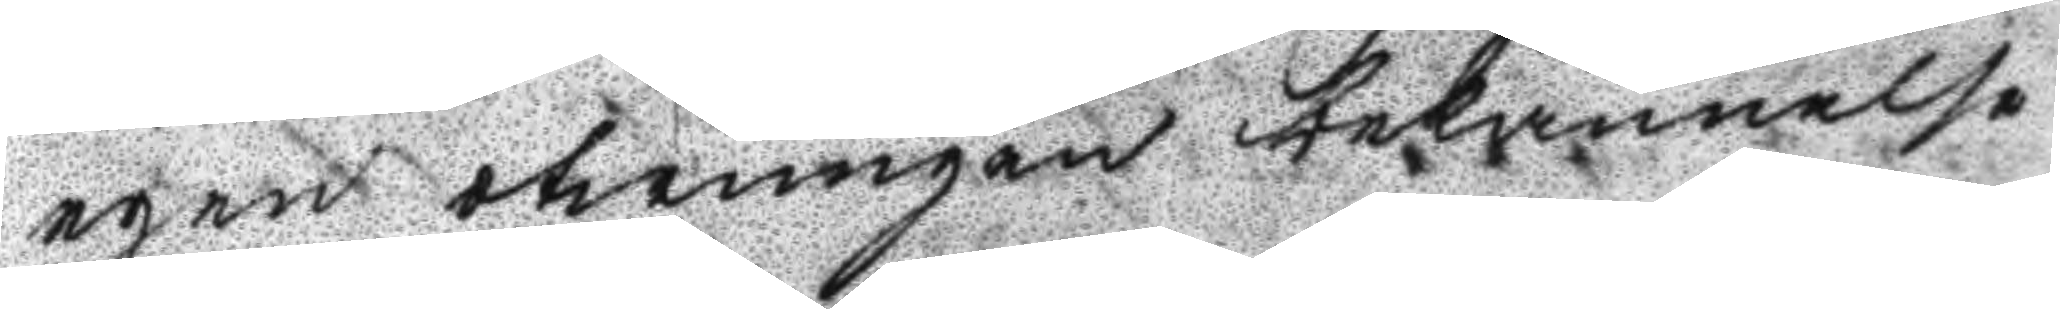egen otwungen bekännelse
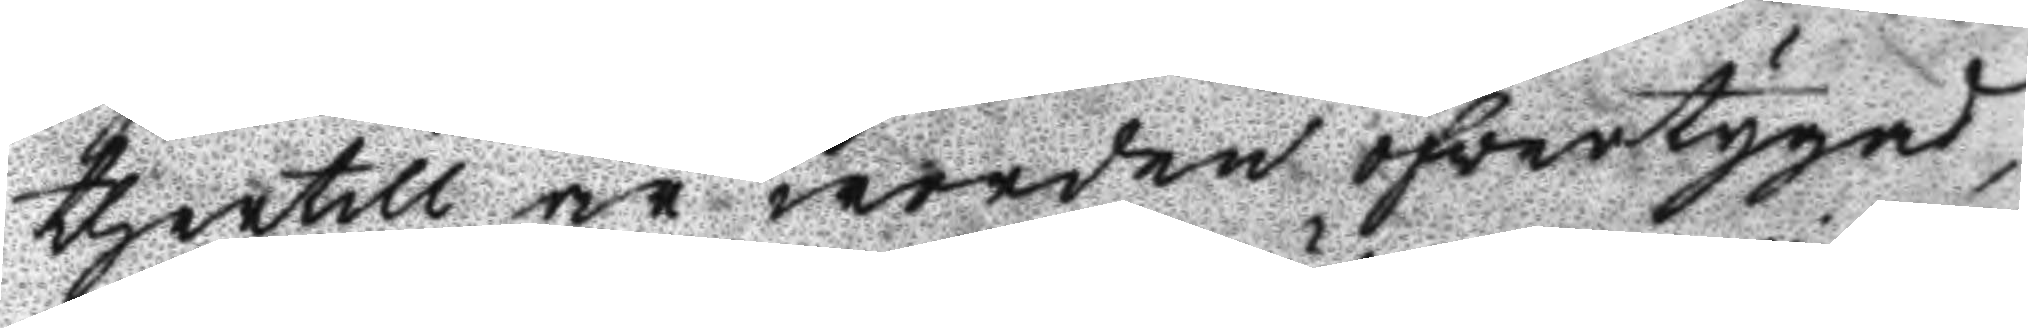thertill är worden öfvertygad
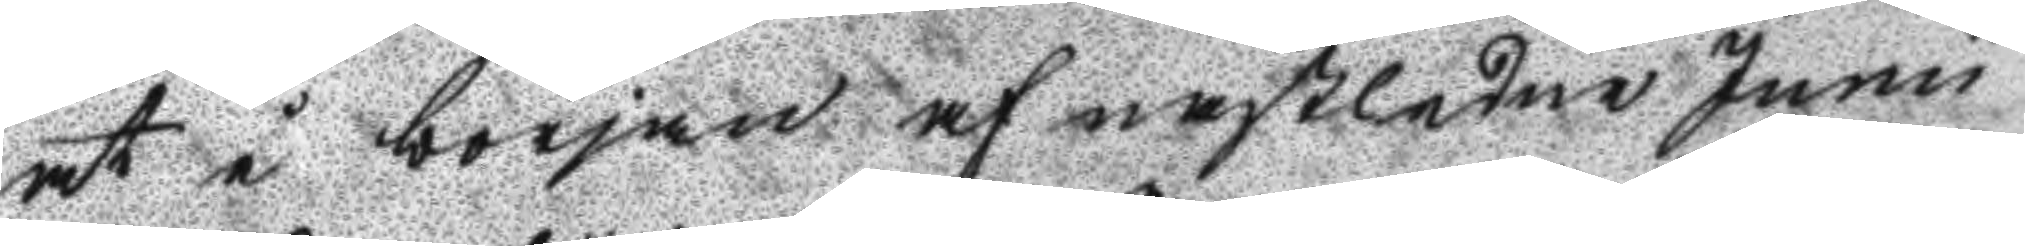at i början af nästledne Junii
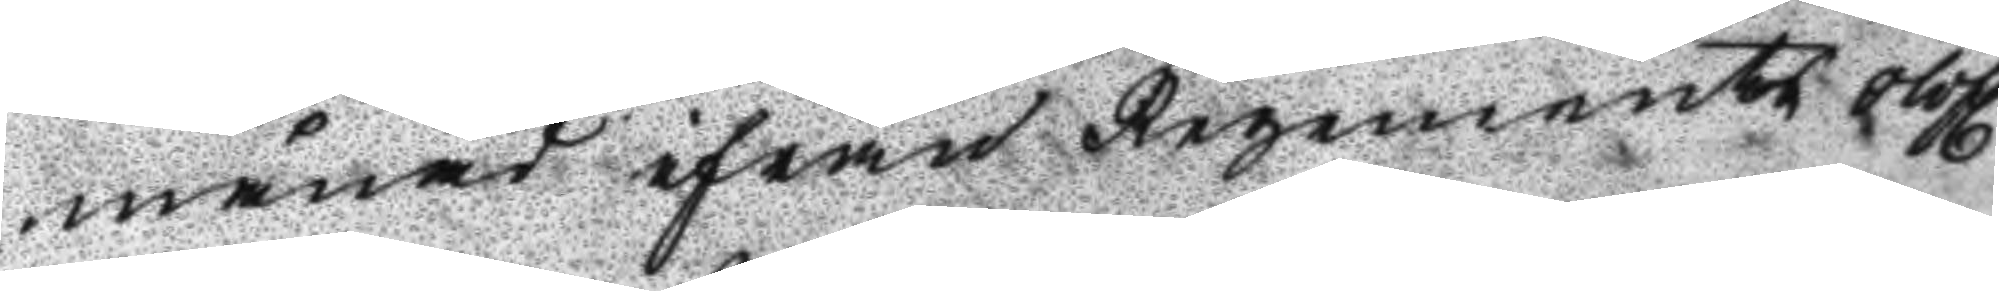månad ifrån Regementet olofl.
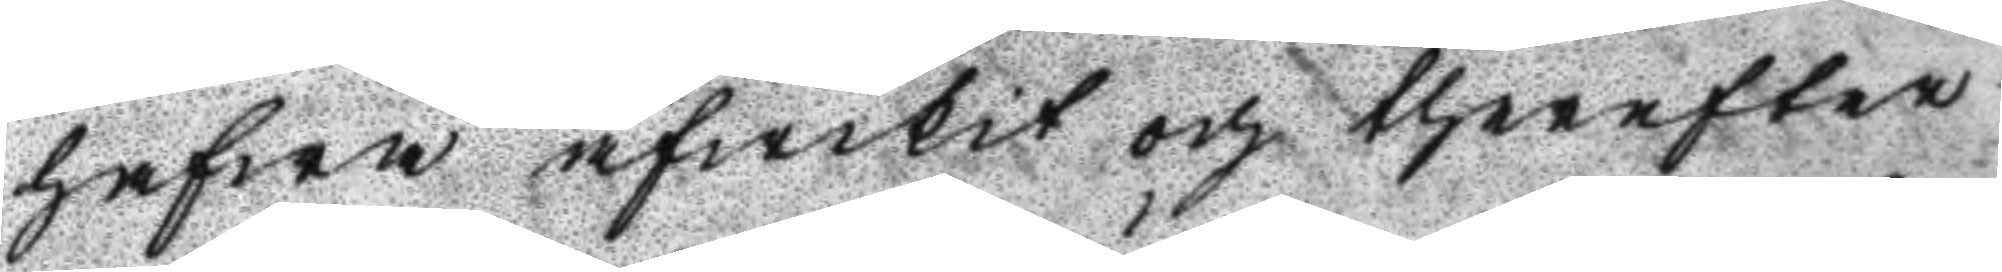hafwa afwikit och tehrefter
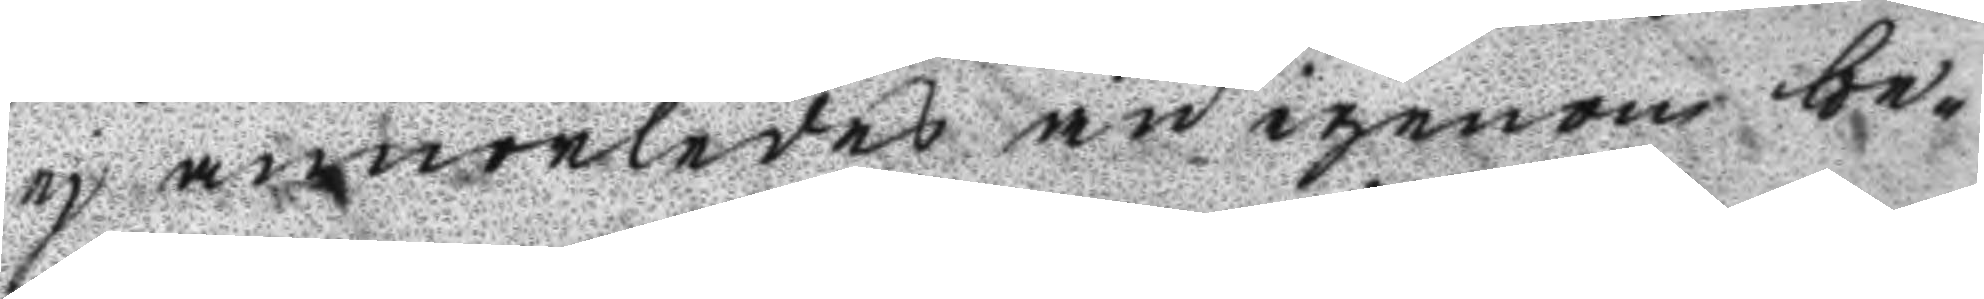ej annorledes än igenom be¬
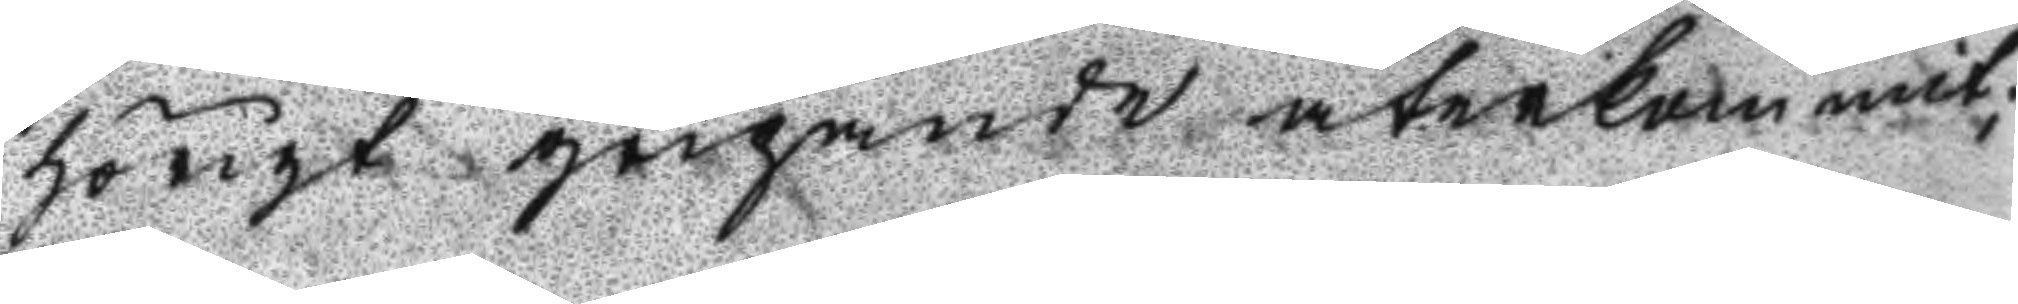hörigt gripande återkommit;
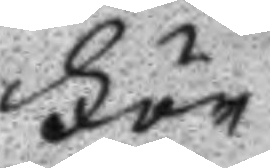För
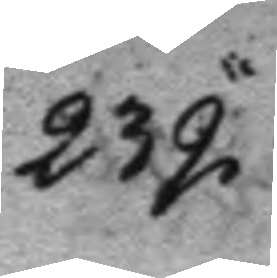232.
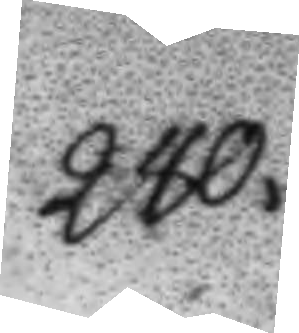240.
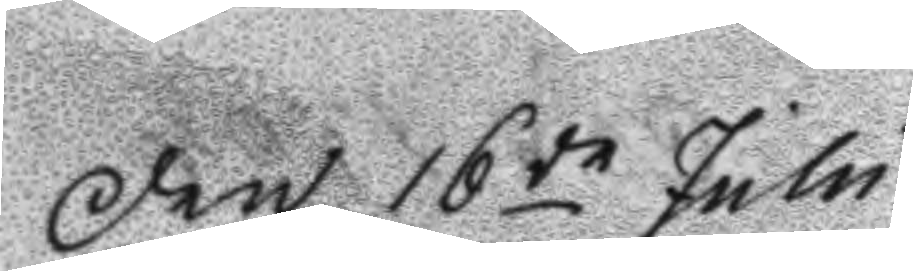Den 16de Julii
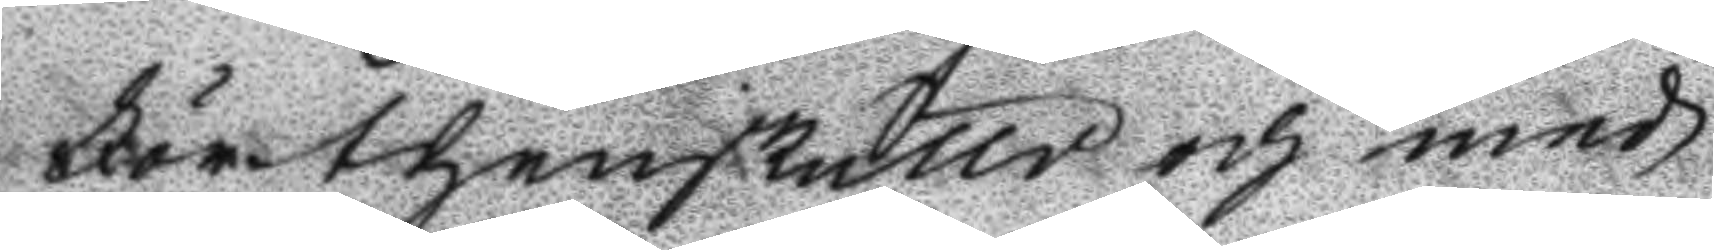Förthenskulld och med
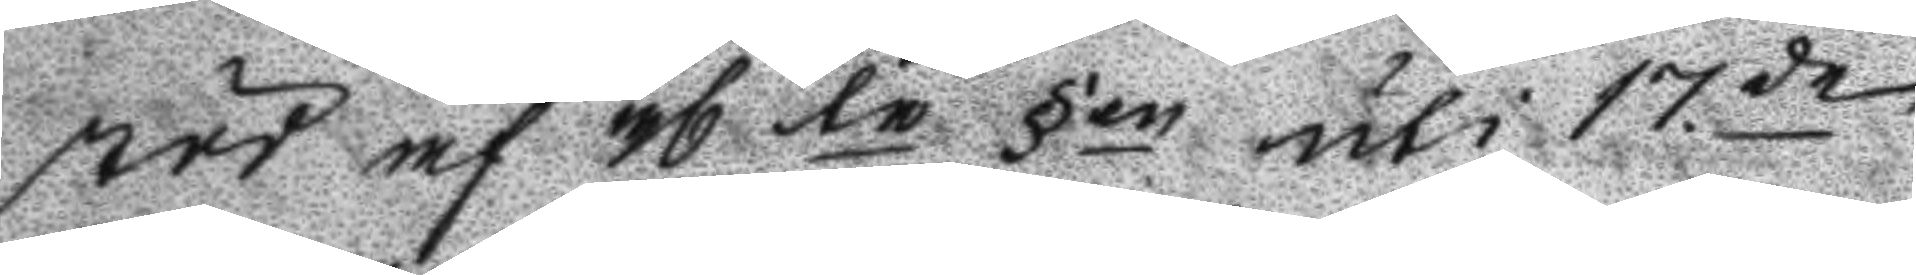stöd af 36 te §en uti 17de
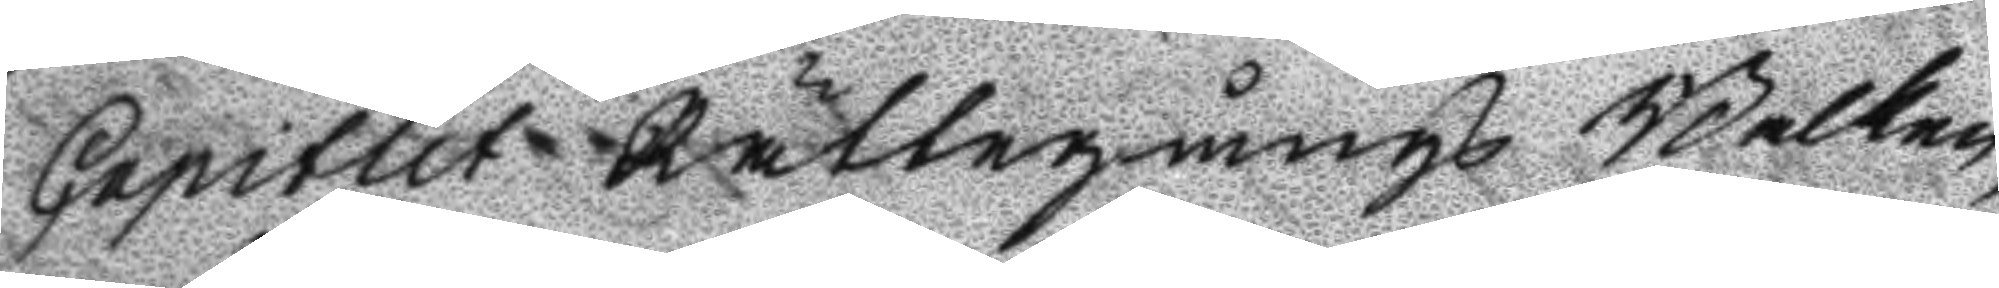Capitlet Rättegångs Balken,
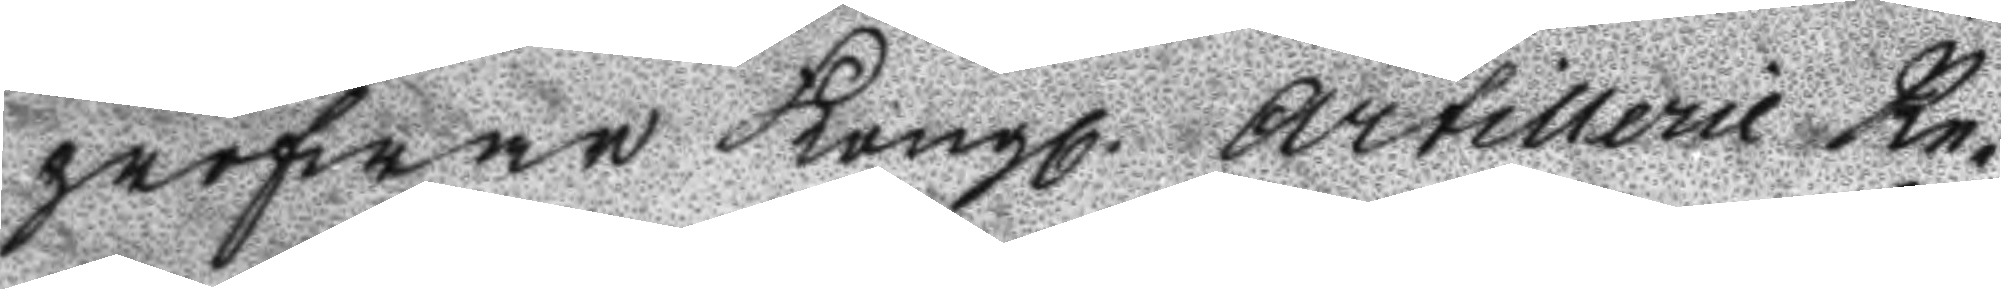pröfwar Kongl. Artillerie Re¬
